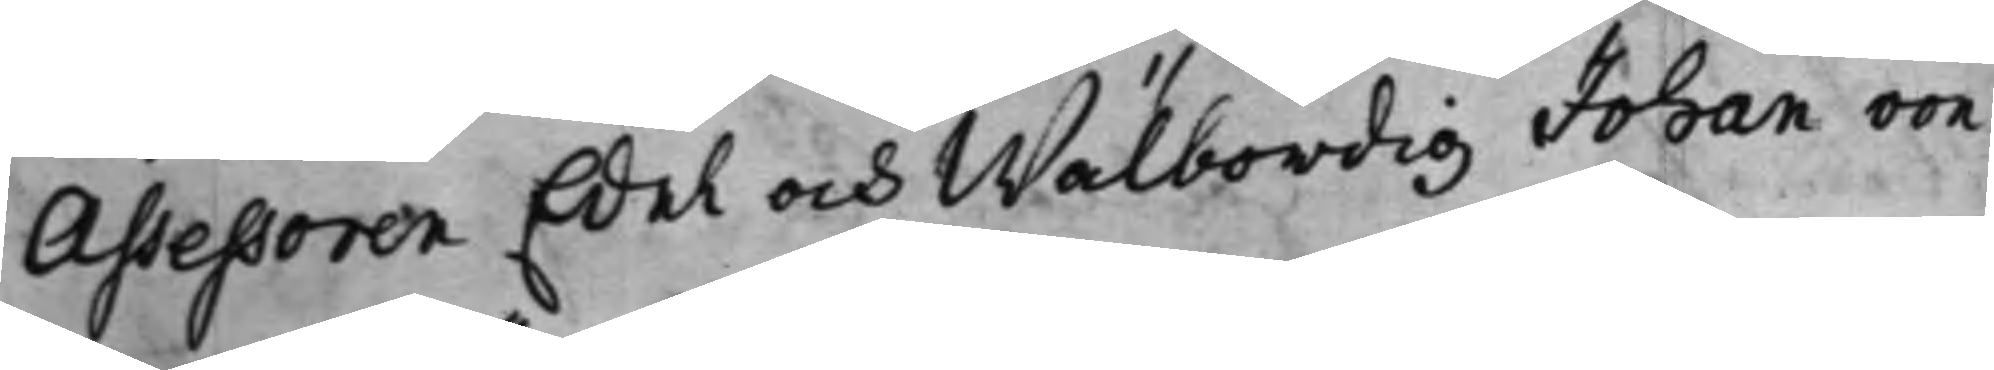Assessoren Edel och Wälbördig Johan von
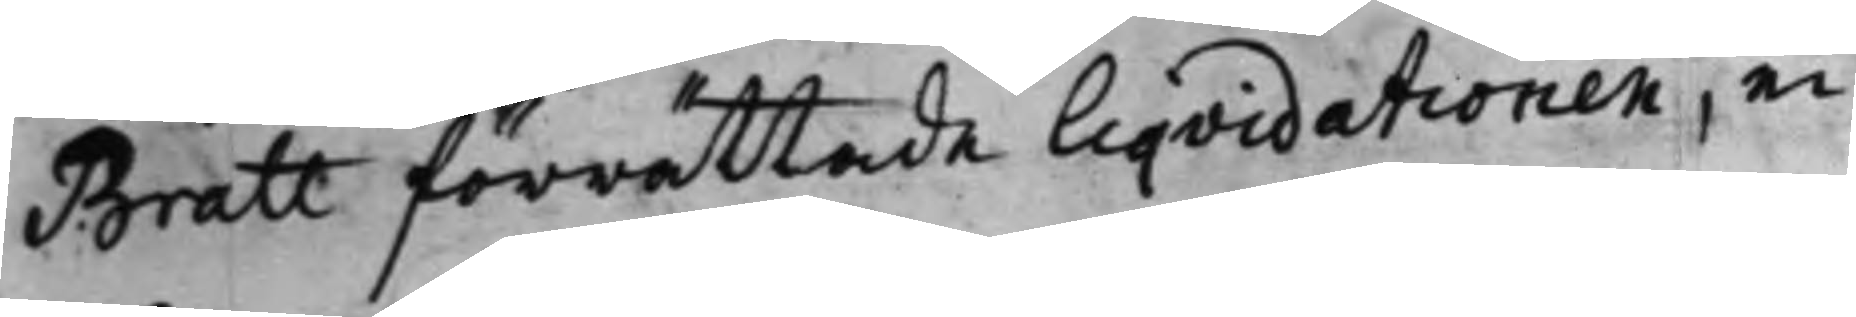Bratt förrättade Liqvidationen, ei
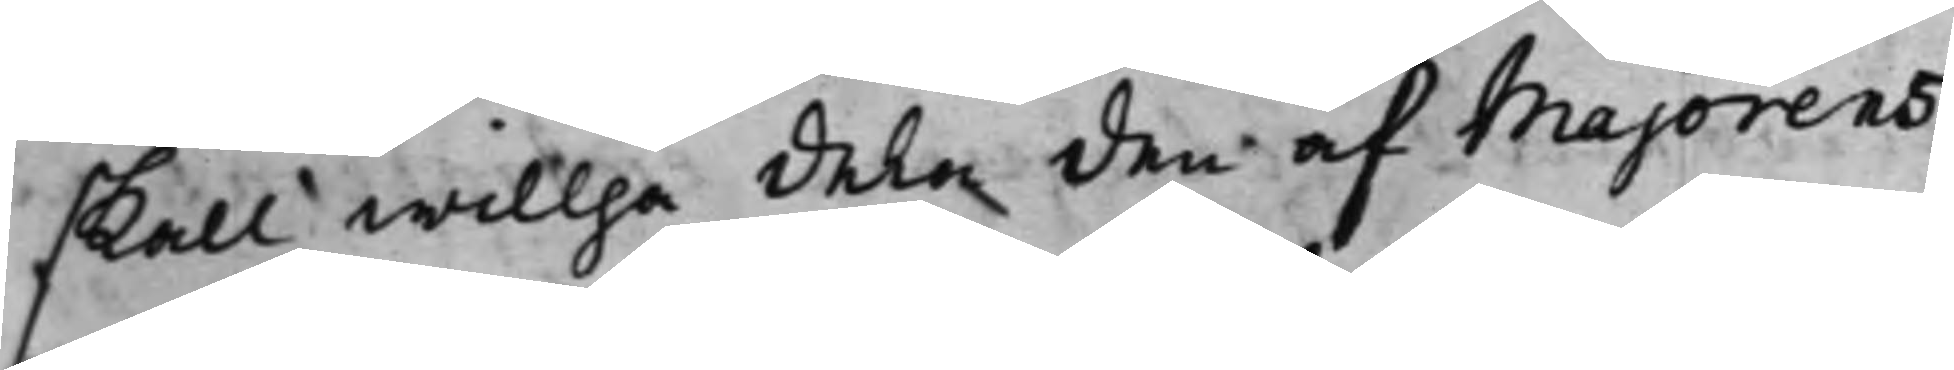skall willja dela den af Majorens
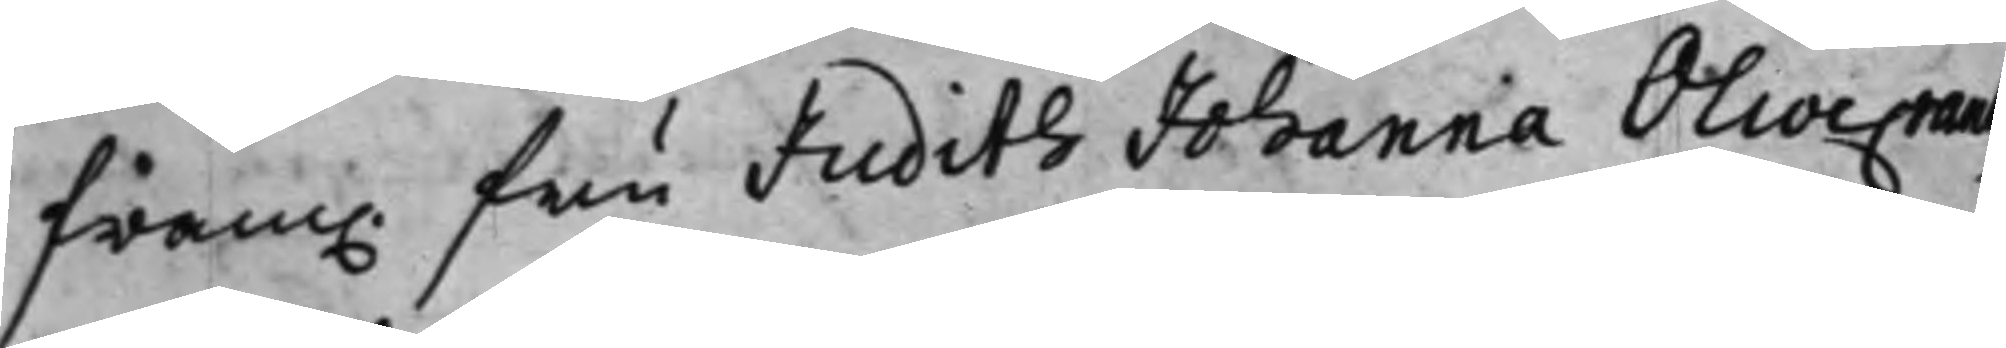fram. fru Judith Johanna Olivecrantz
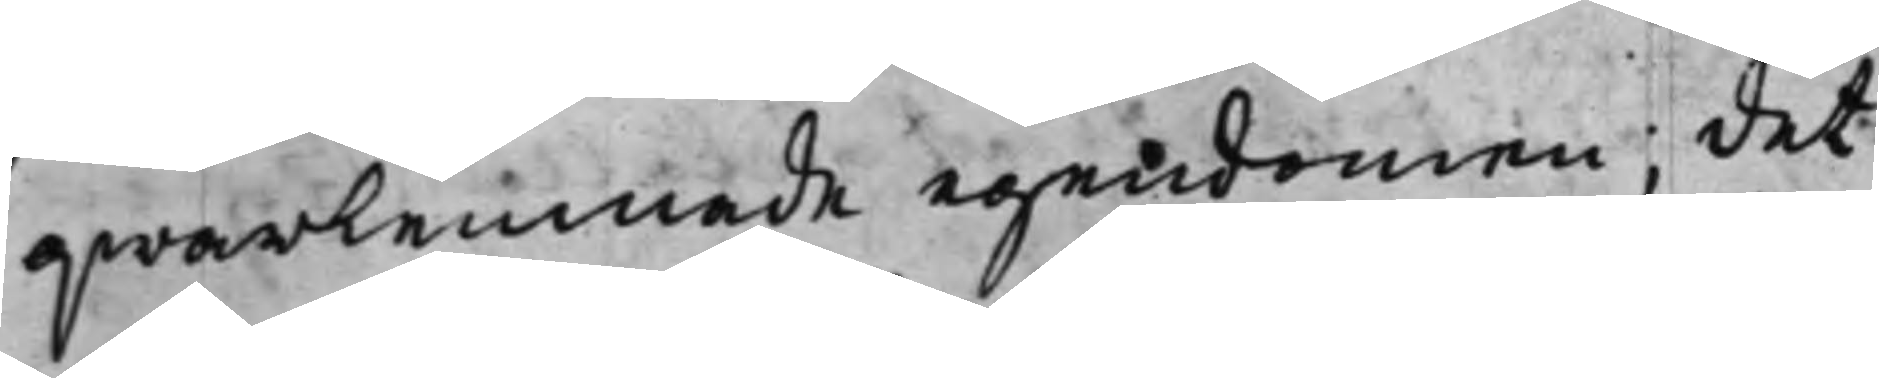qwarlemnade egendomen; det
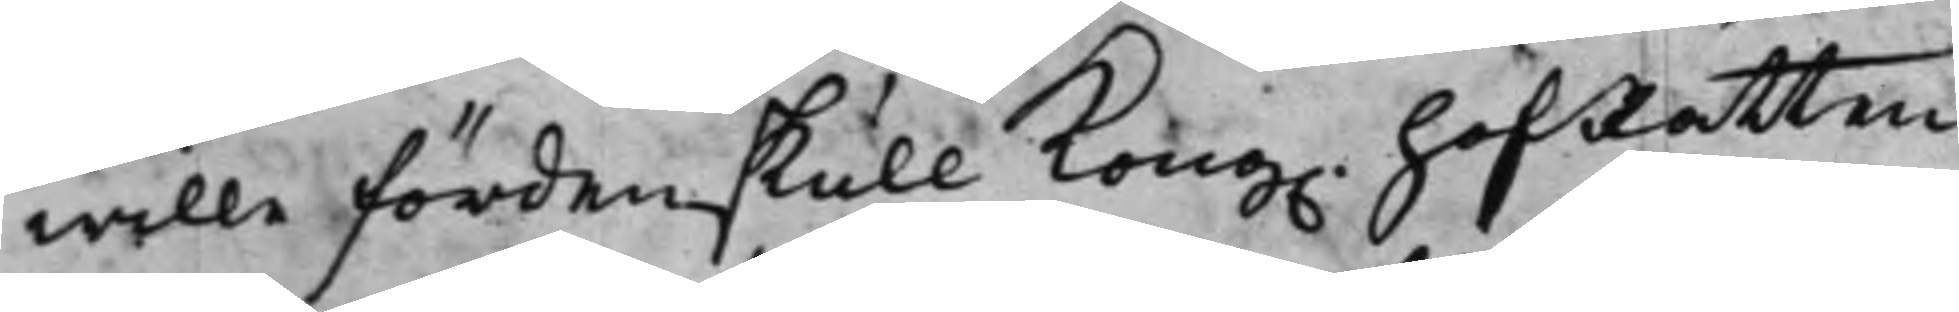wille fördenskull Kong. HofRätten
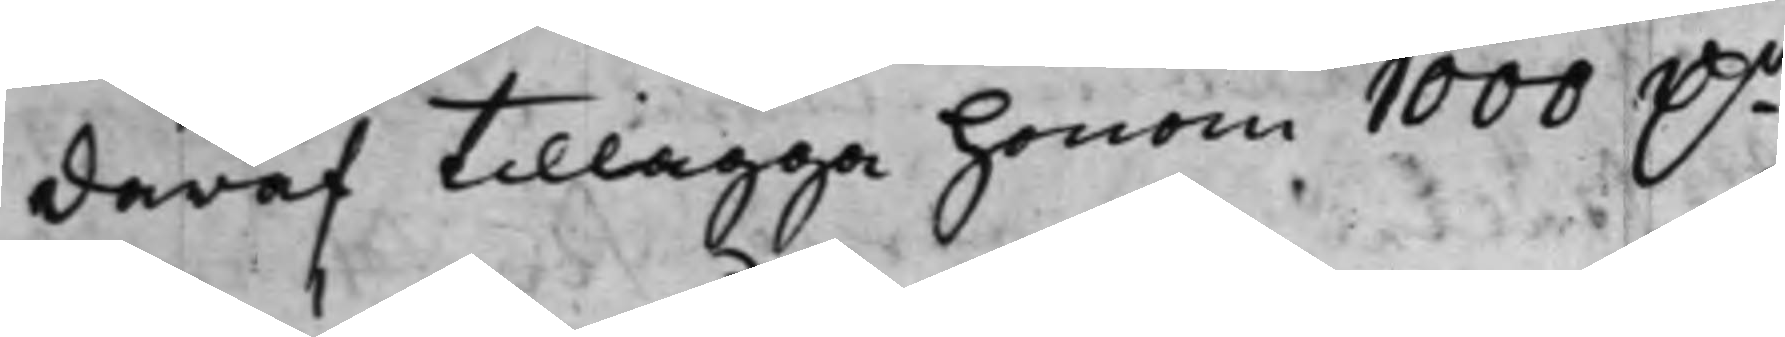däraf tillägga honom 1000 D.r
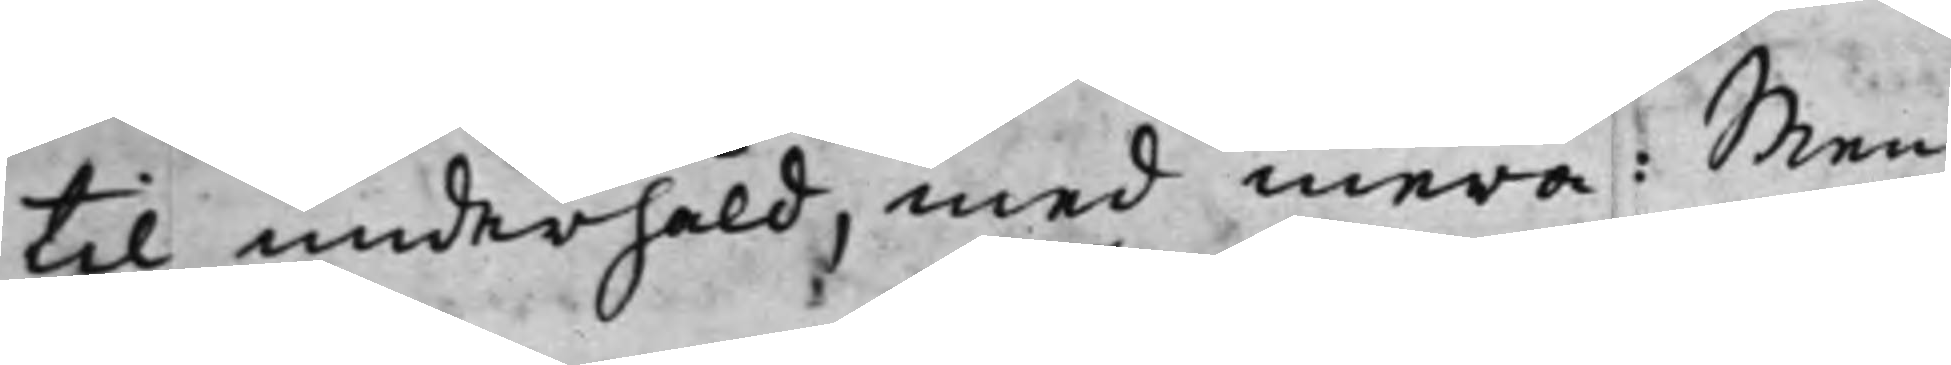til underhåld, med mera: Men
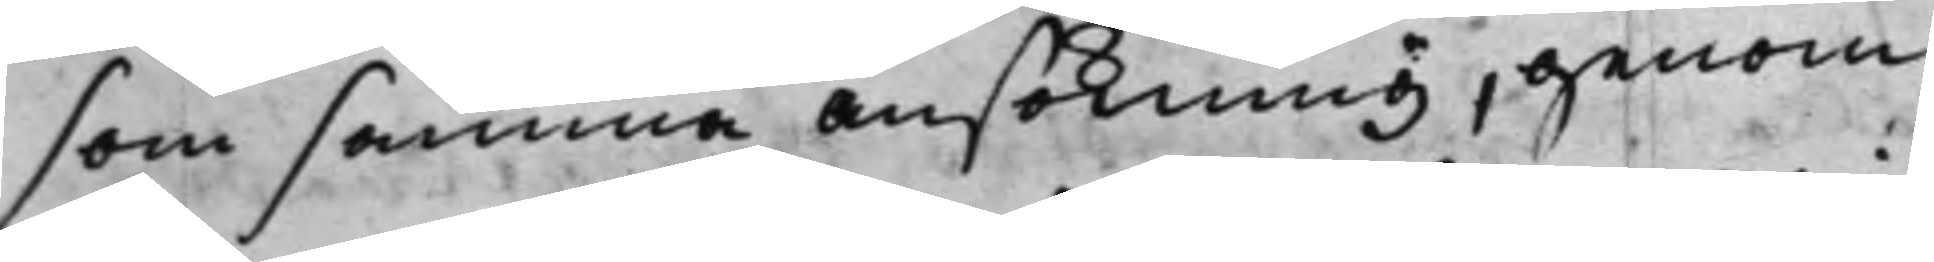som samma ansökning, genom
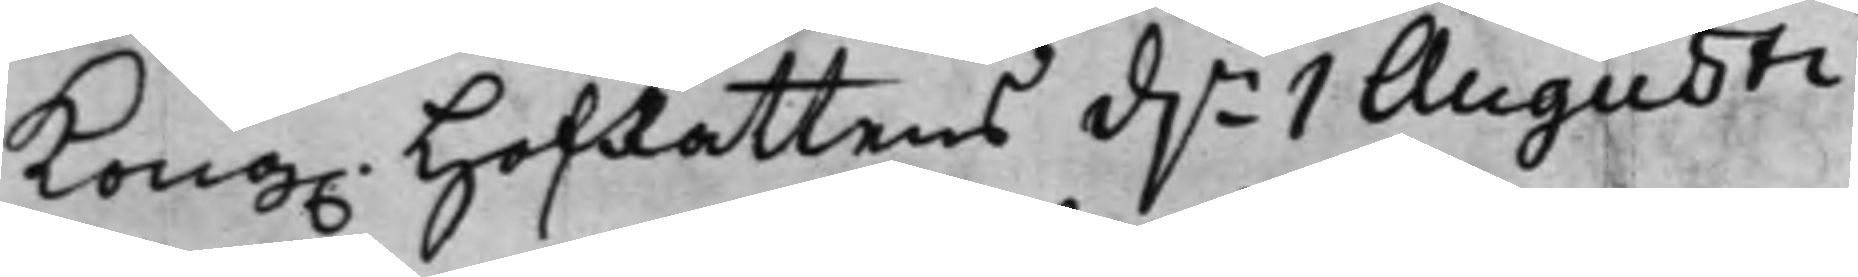Kong. HofRättens d.n 1 Augusti
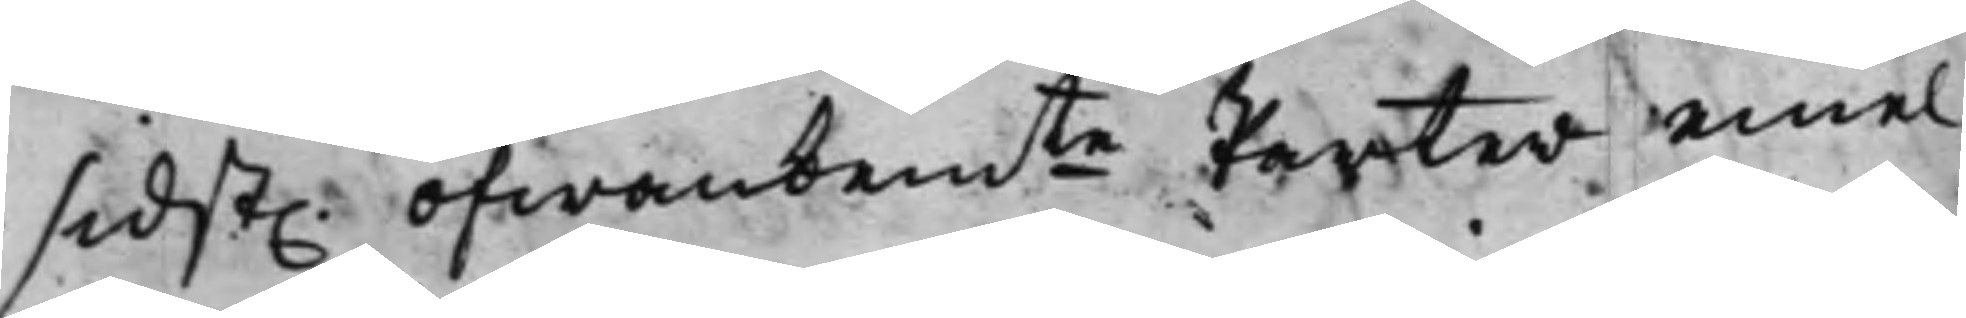sidst. ofwanbemte Parter emel¬
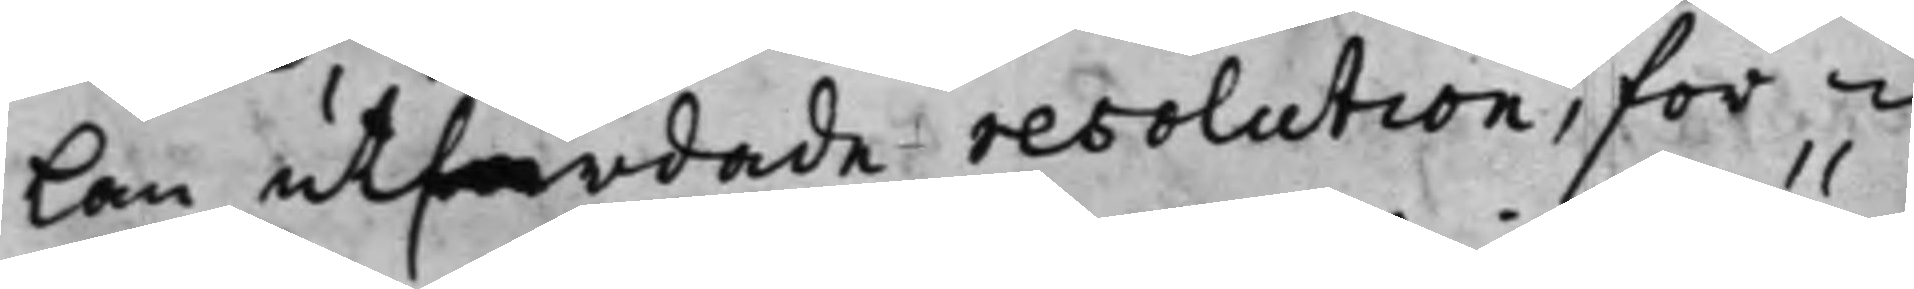lan utfärdade resolution, för¬
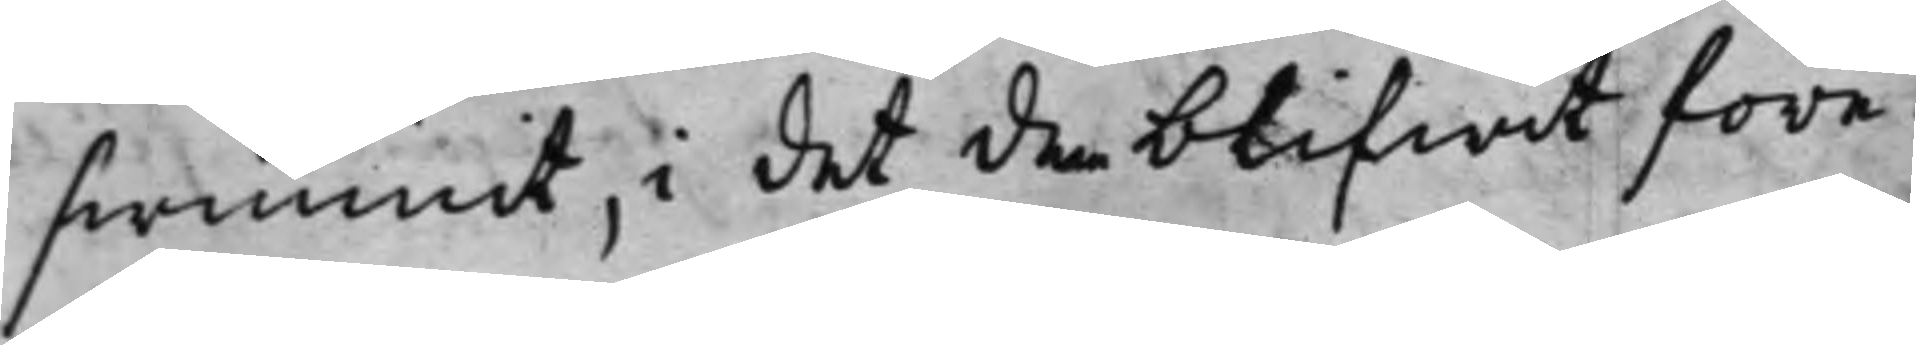swunnit, i det den blifwit före¬
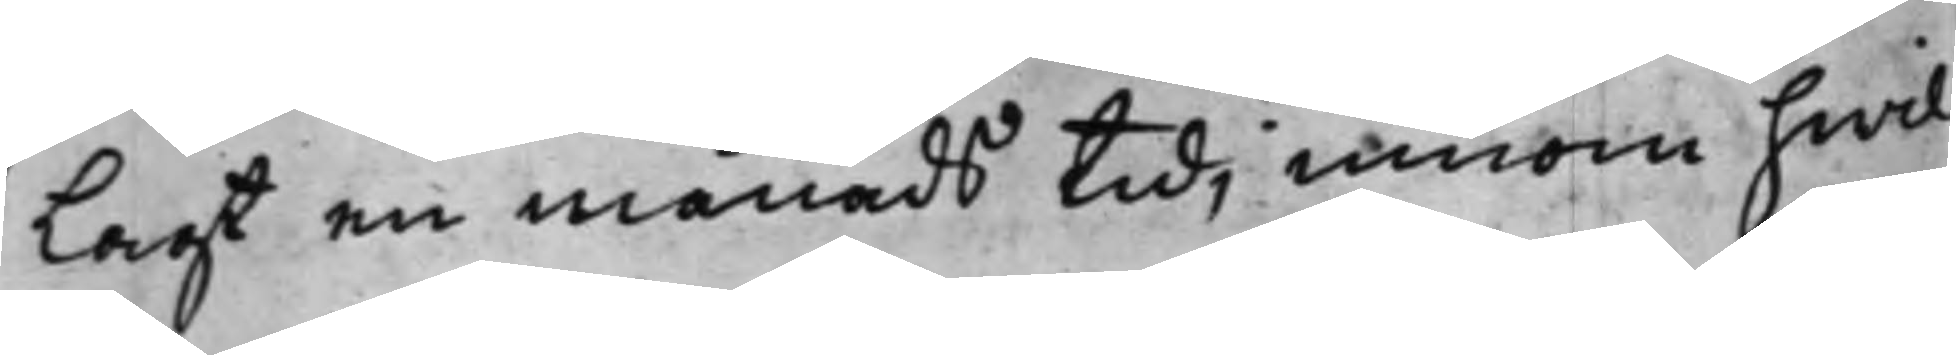Lagt en månads tid, innom hwil¬
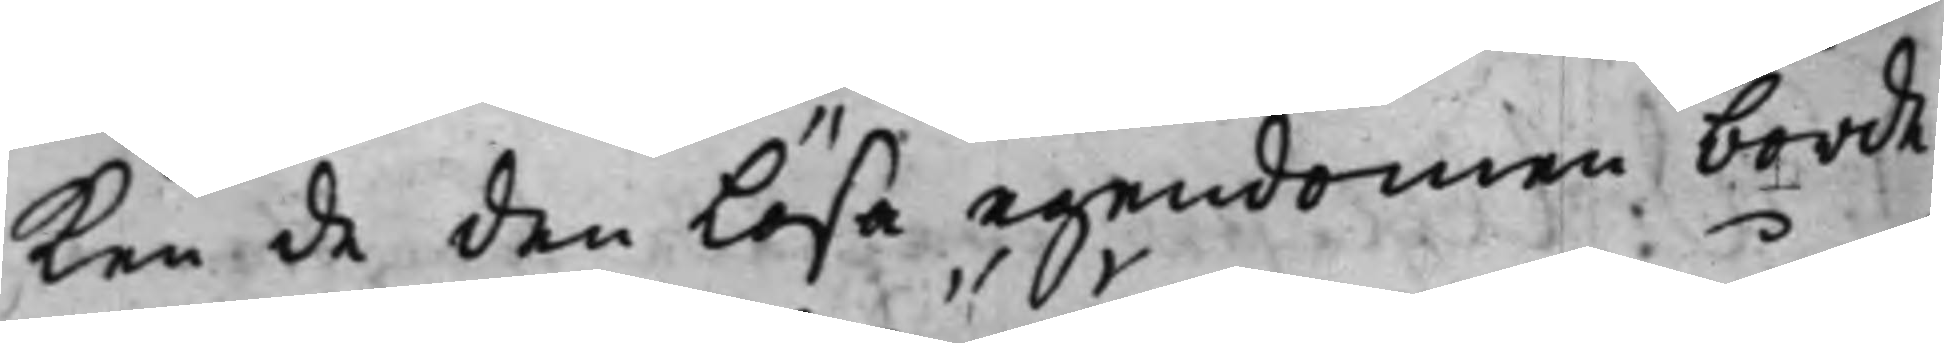ken de den Lösa egendomen borde
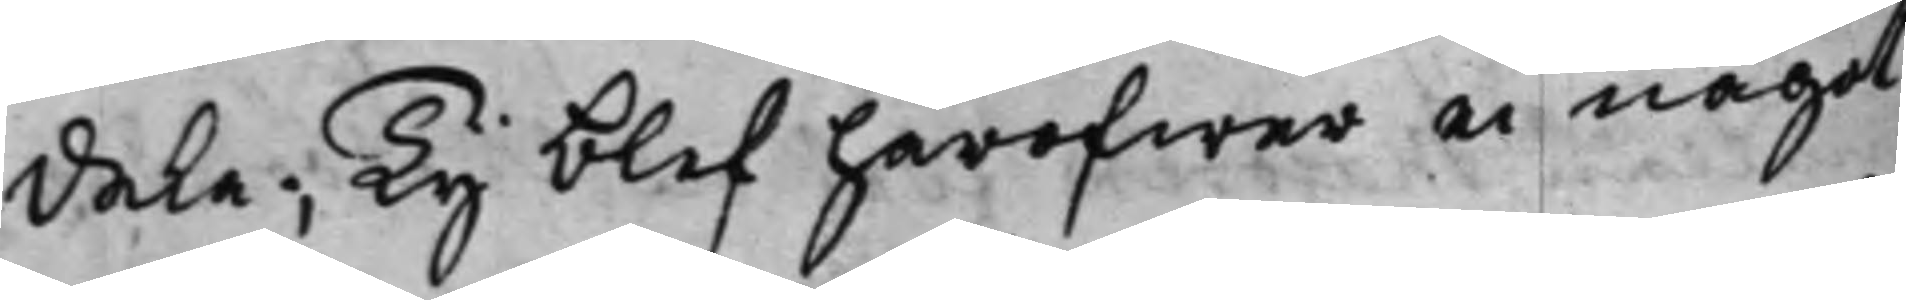dela; Ty blef häröfwer ei något
